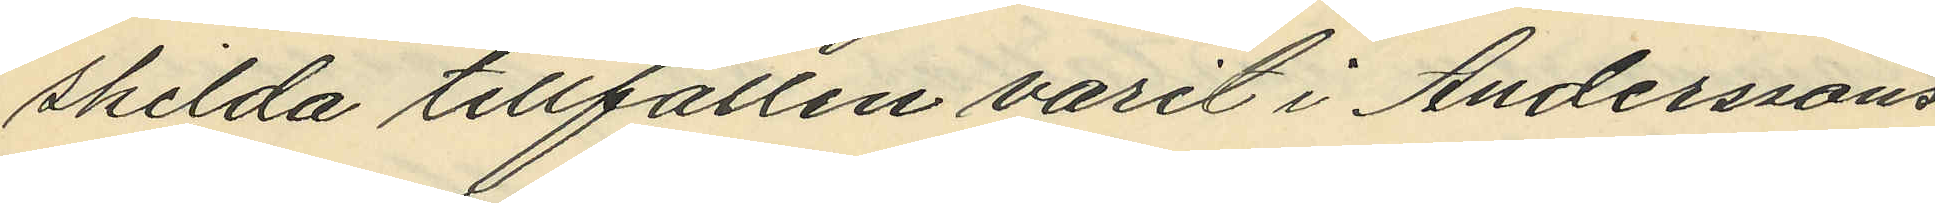skilda tillfällen varit i Anderssons
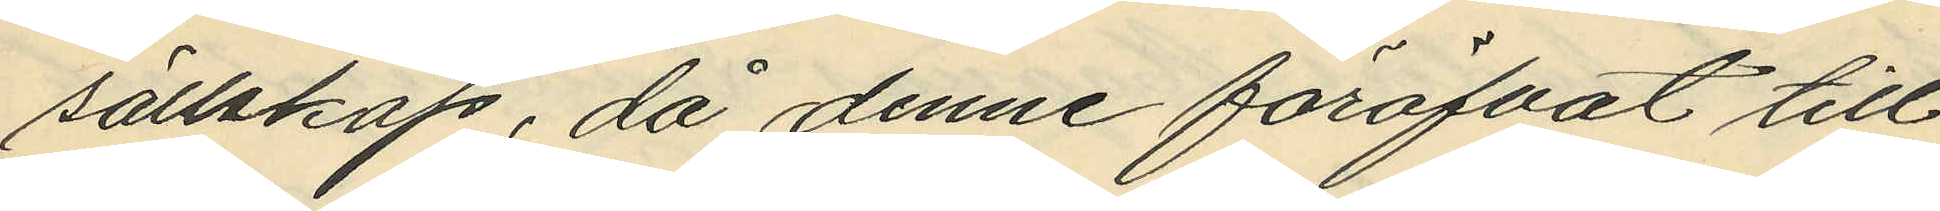sällskap, då denne föröfvat till¬
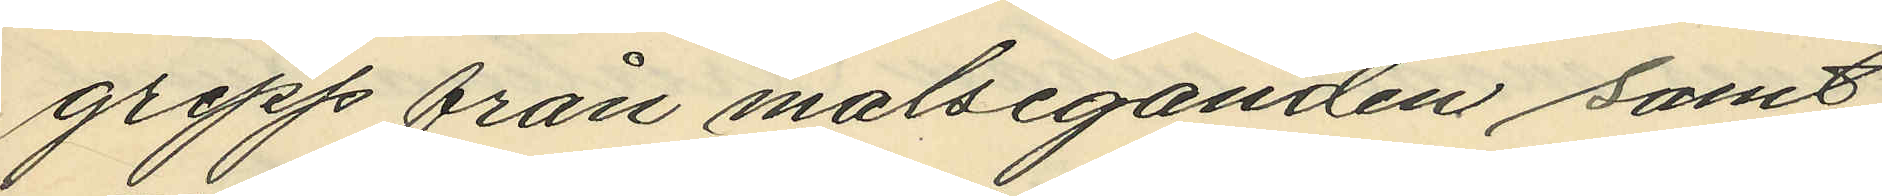grepp från målseganden samt
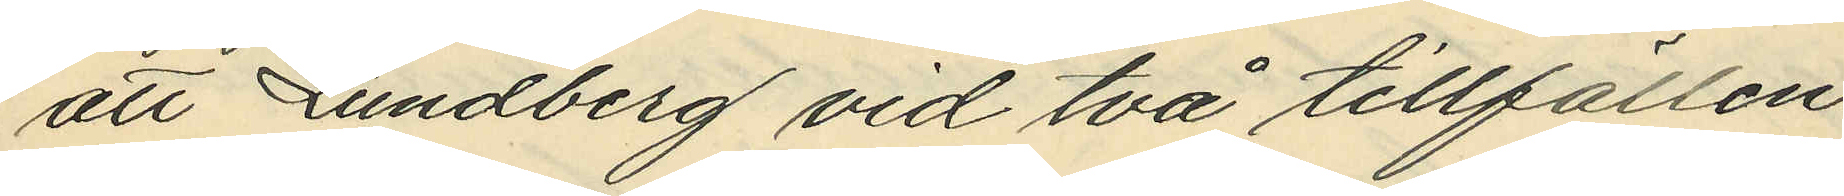att Lundberg vid två tillfällen
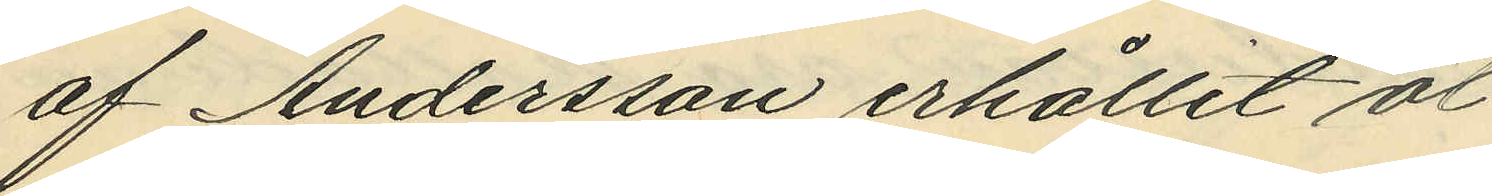af Andersson erhållit öl
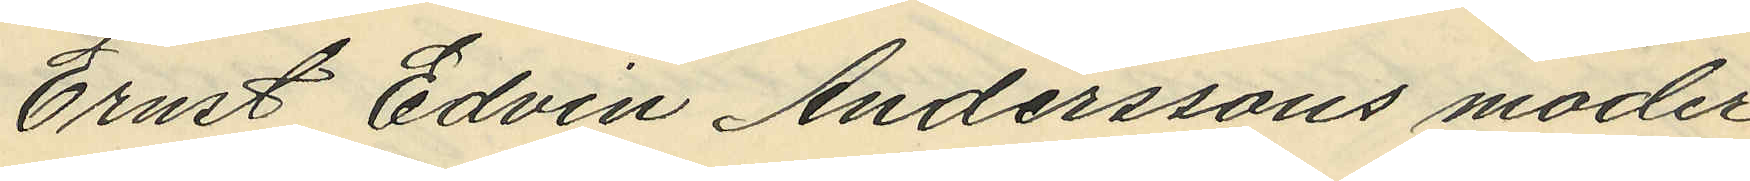Ernst Edvin Anderssons moder
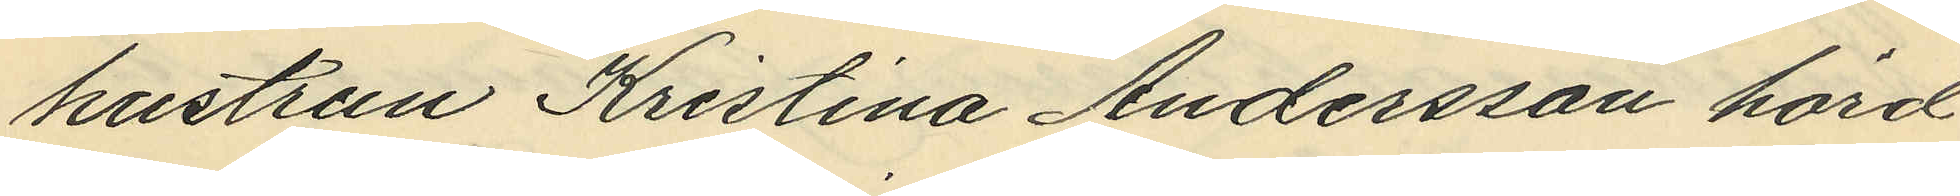hustrun Kristina Andersson hörd
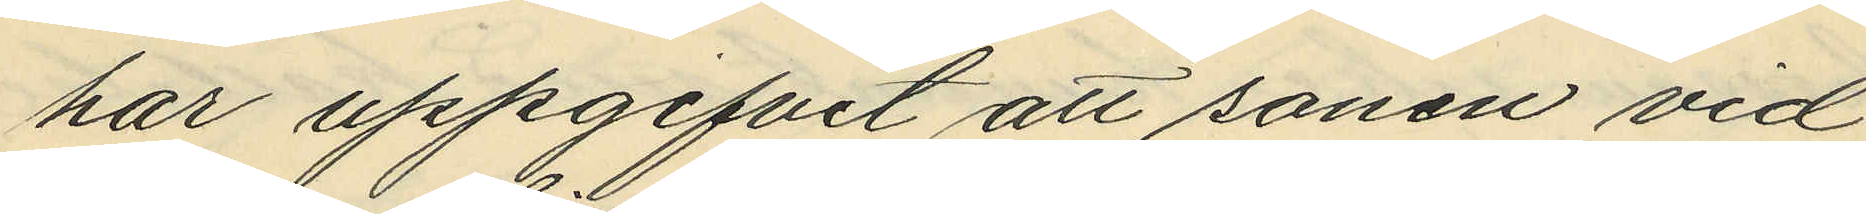har uppgifvet att sonen vid
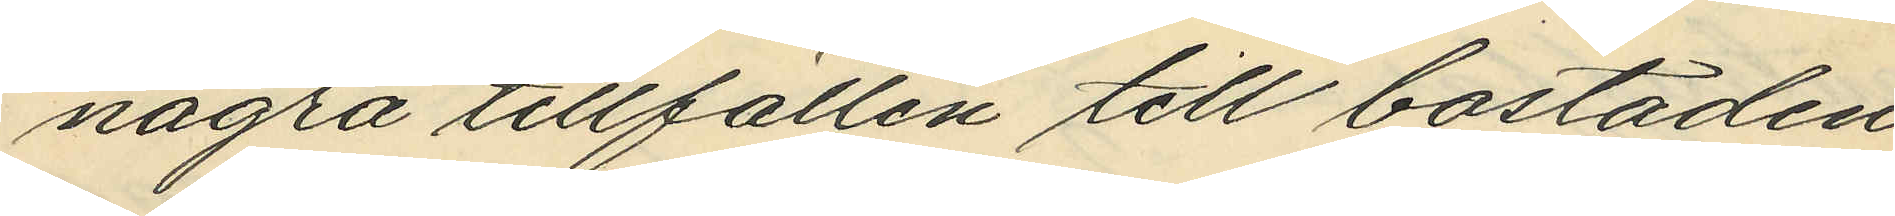några tillfällen till bostaden
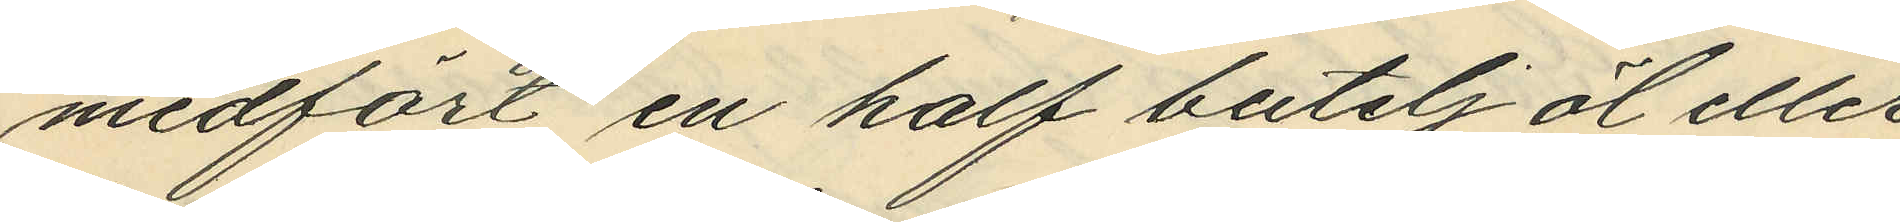medfört en half betelj öf eller
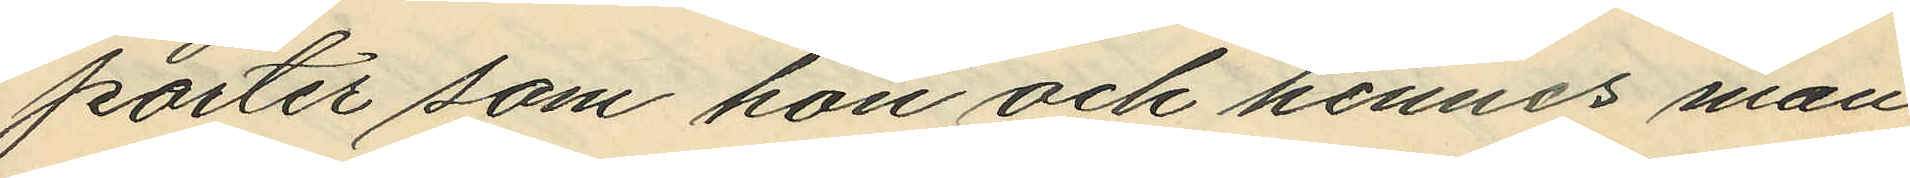porter som hon och hennes man
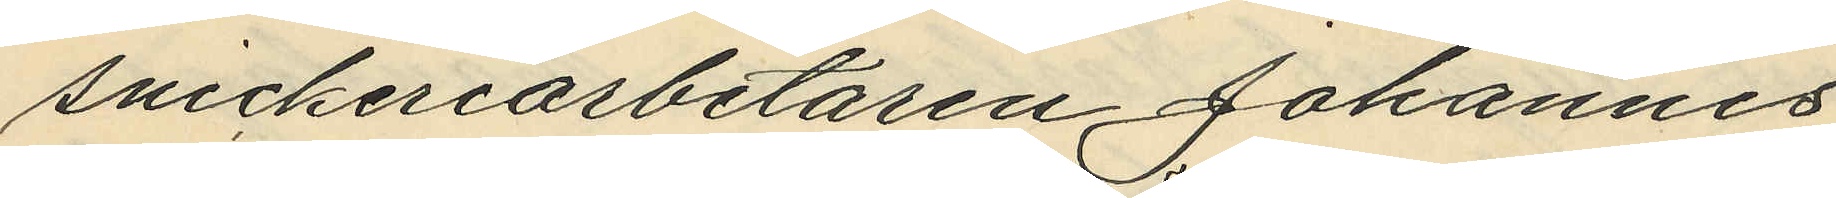Snickeriarbetaren Johannes
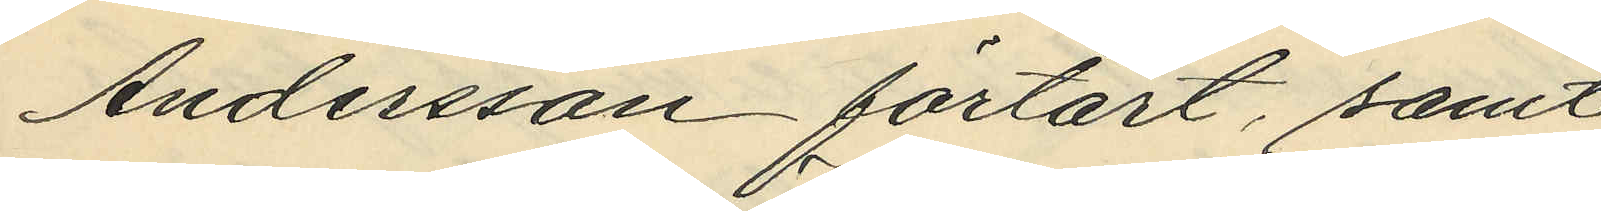Andersson förtärt, samt
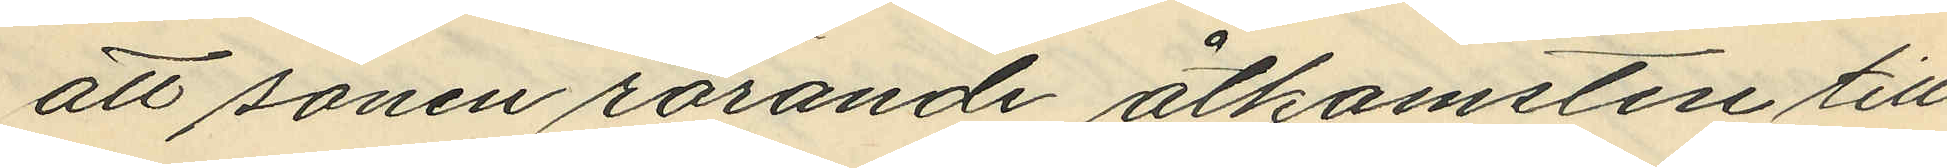att sonen rörande åtkomsten till
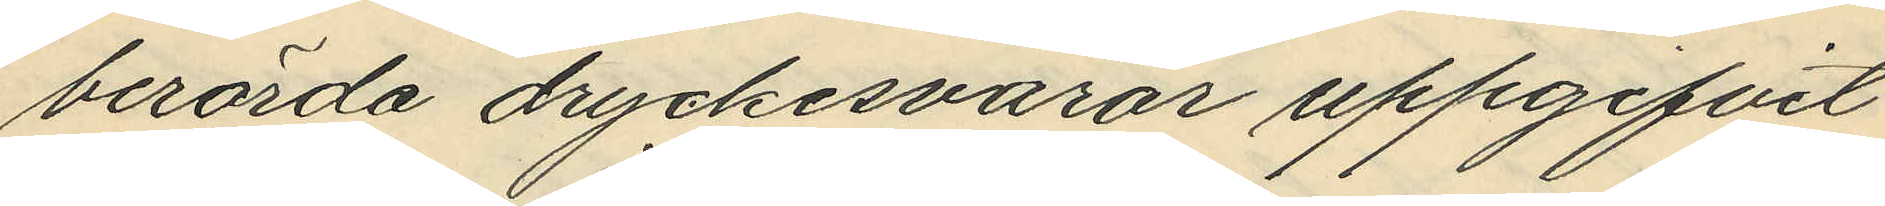berörda dryckesvarar uppgifvit
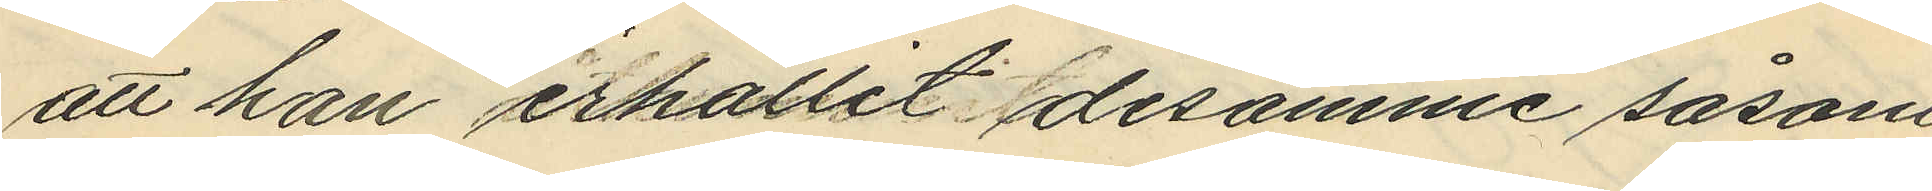att han erhållit desamme såsom
